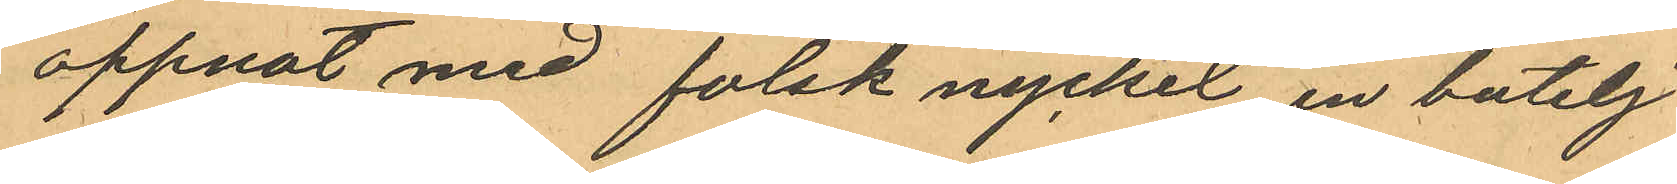öppnat med falsk nyckel en butelj
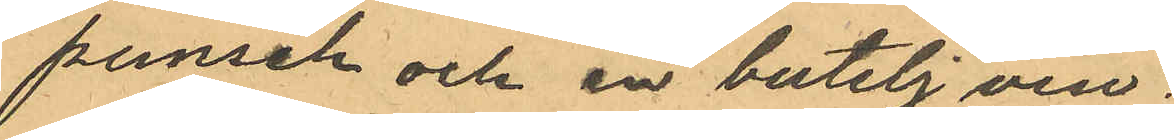punsch och en butelj vin;
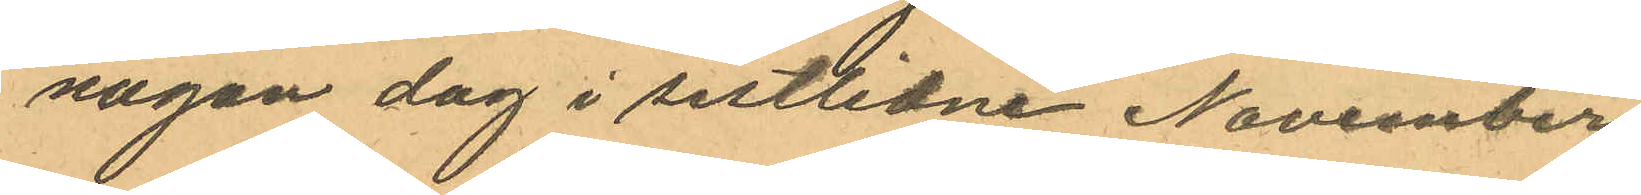någon dag i sistlidne November
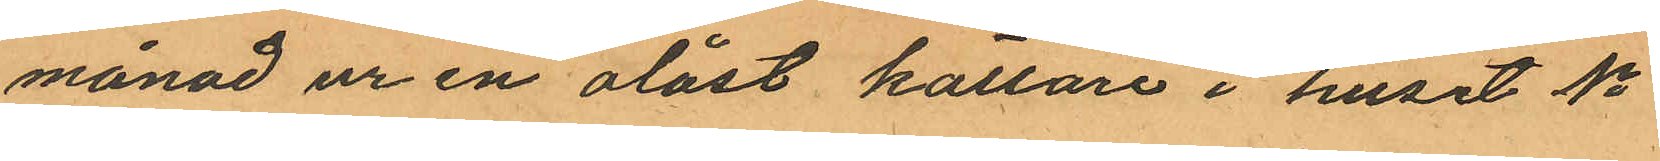månad ur en olåst källare i huset No
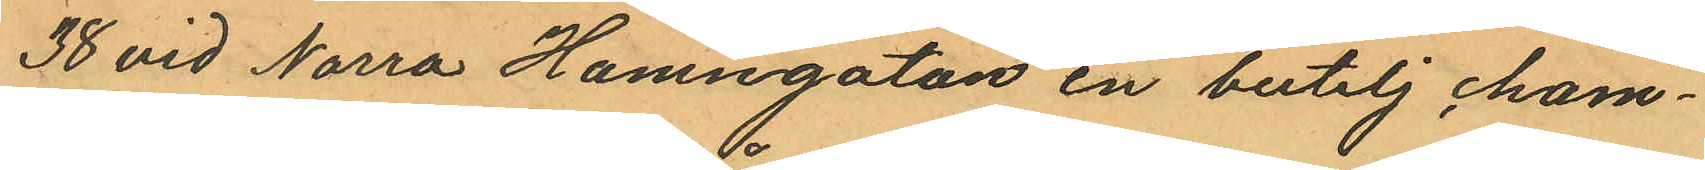38 vid Norra Hamngatan en butelj, cham¬
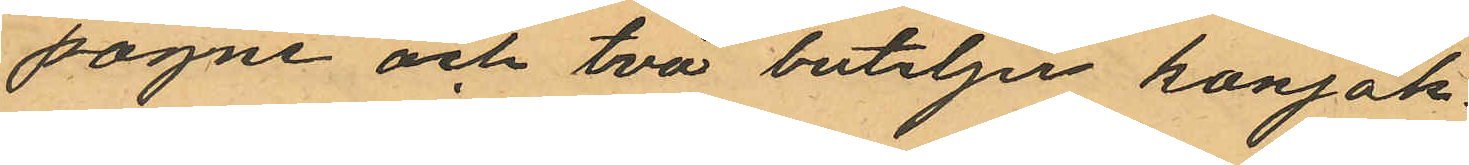pagne och två buteljer konjak
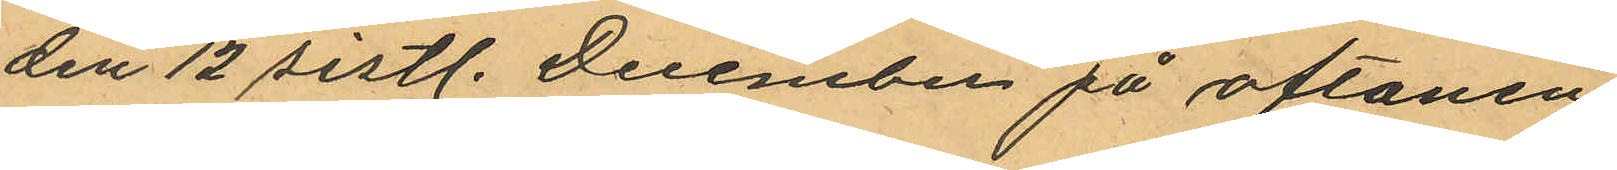den 12 sistl. December på aftonen
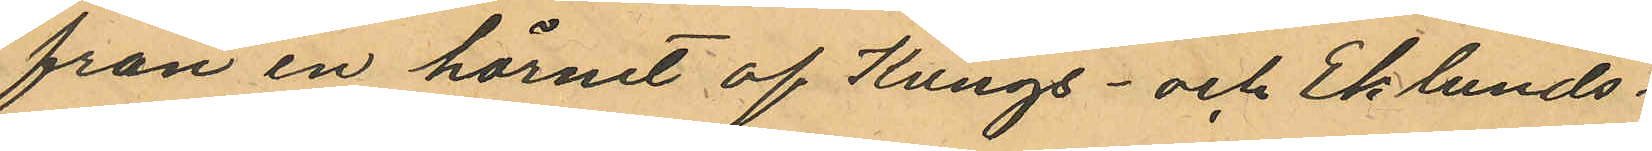från en hörnet af Kungs- och Eklunds¬
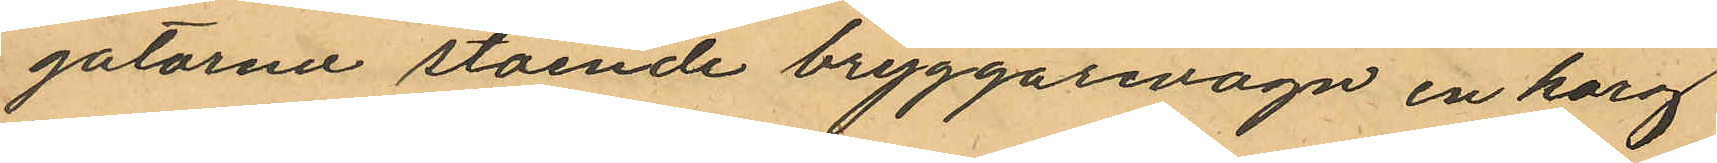gatarna stående bryggarevagn en korg
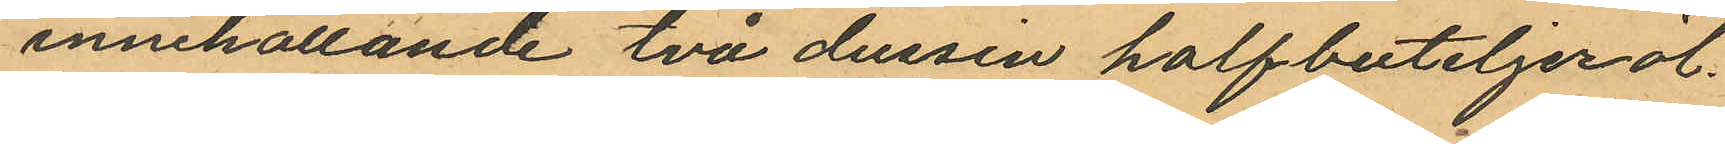innehållande två dussin halfbuteljer öl.
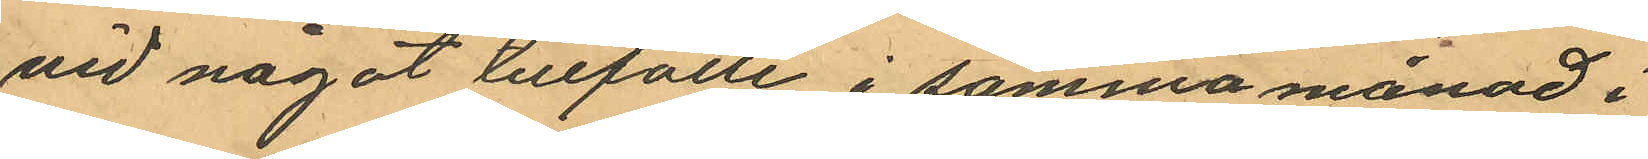vid något tillfälle i samma månad i
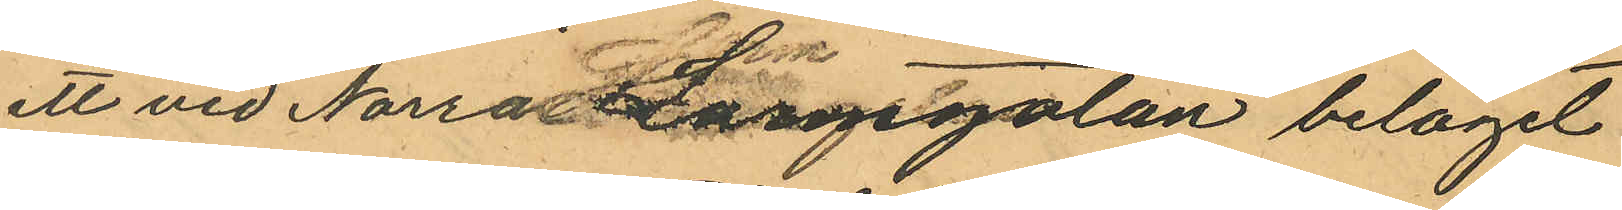ett vid Norra Larmgatan beläget
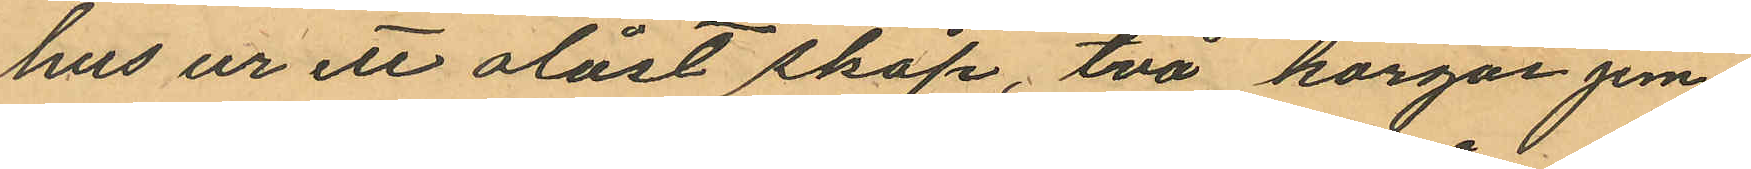hus ur ett olåst skåp, två korgar jem¬
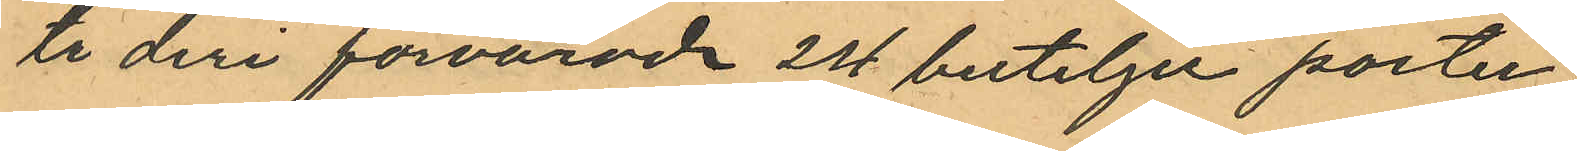te deri förvarade 2st buteljer porter
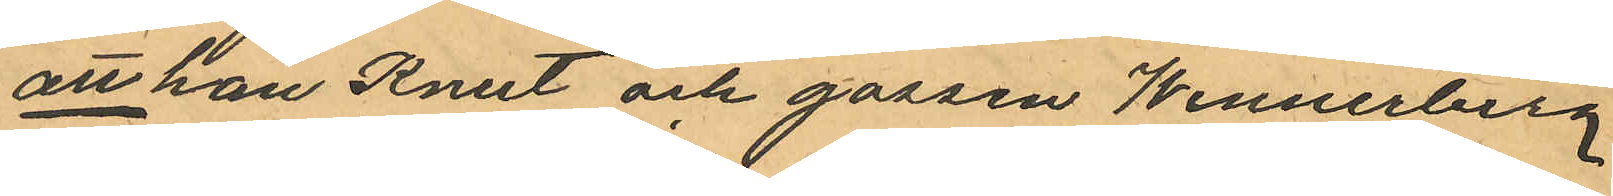att han Knut och gossen Wennerberg
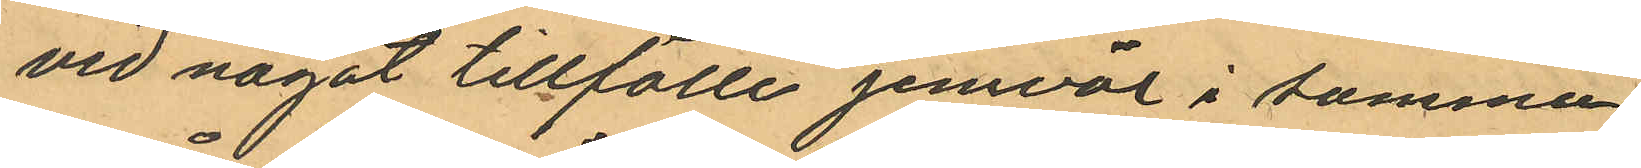vid något tillfälle jemväl i samma
